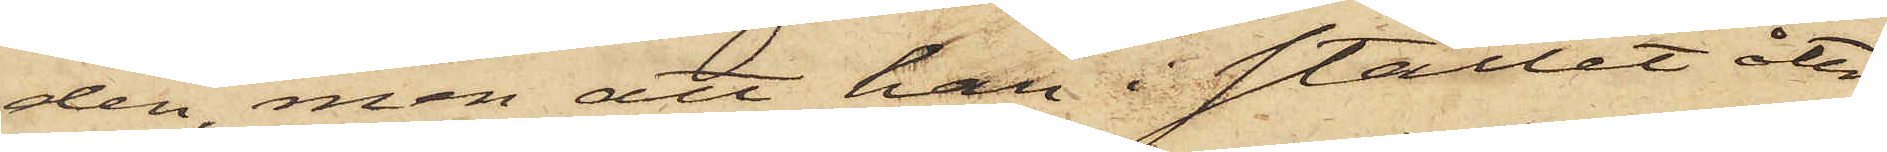den, men att han i stället åter¬
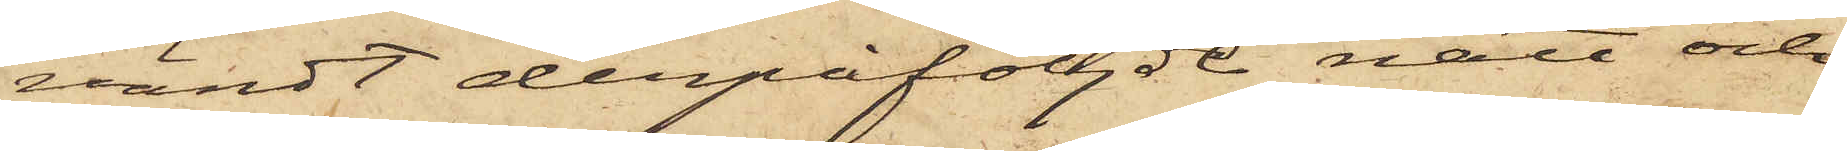vändt derpåföljde natt och
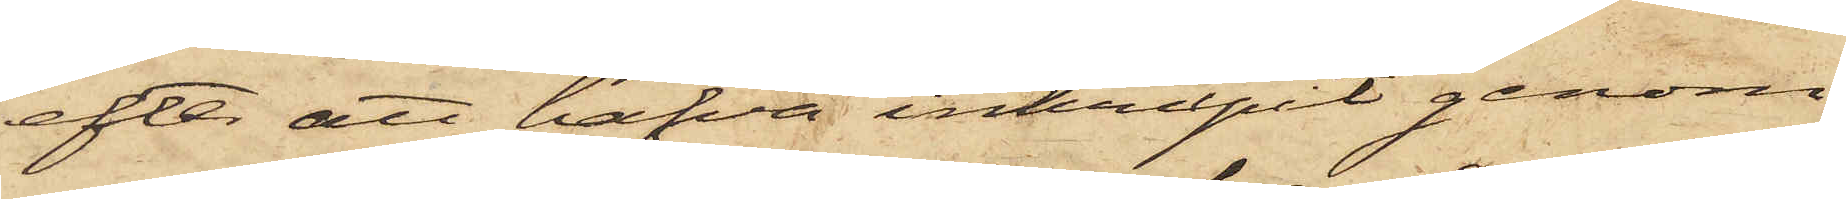efter att hafva inkrupit genom
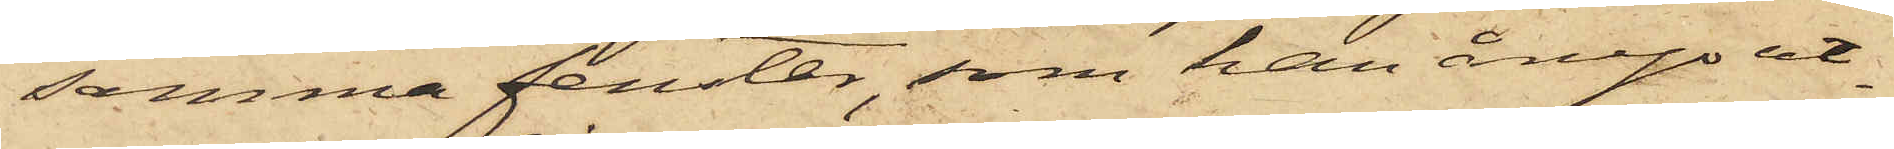samma fenster, som han ånyo ut¬
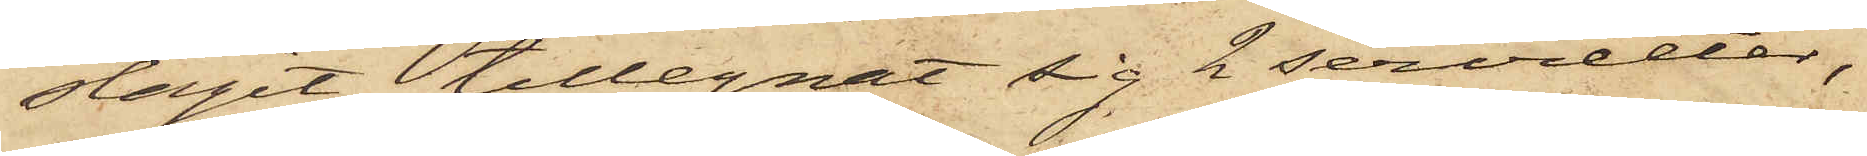slagit, tillegnat sig 2 servietter,
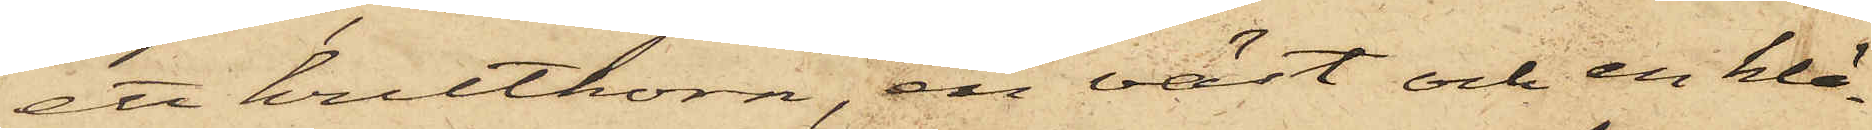ett kruthorn, en väst och en klä¬
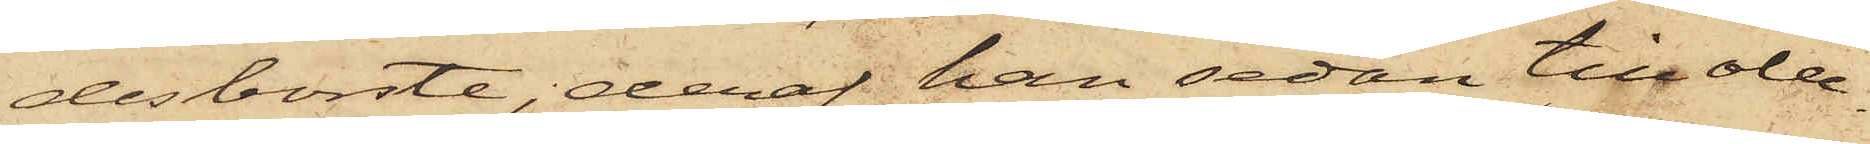desborste, deraf han sedan till obe¬
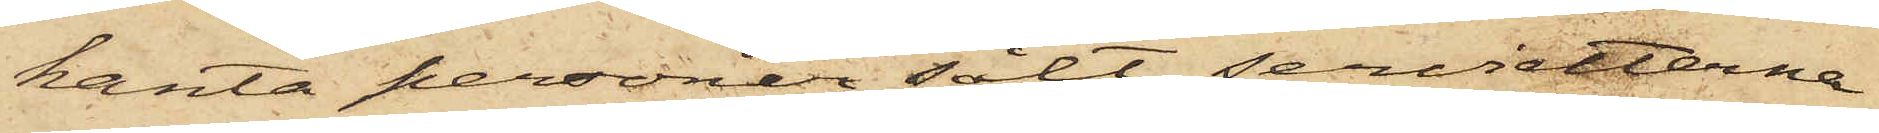kanta personer sålt servietterna
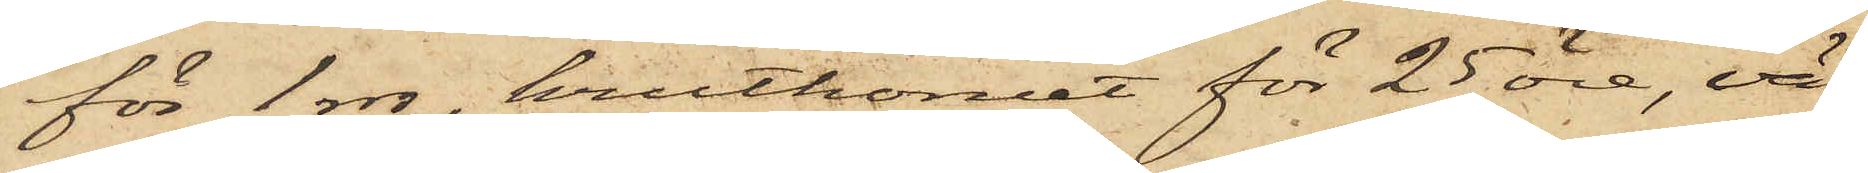för 1 rdr, kruthornet för 25 öre, vä¬
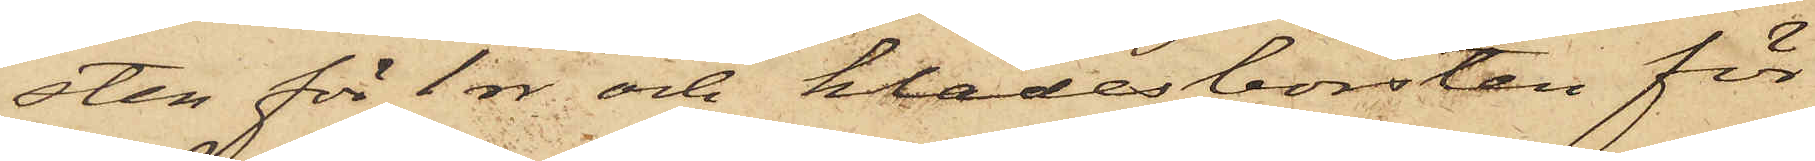sten för 1 rdr och klädesborsten för
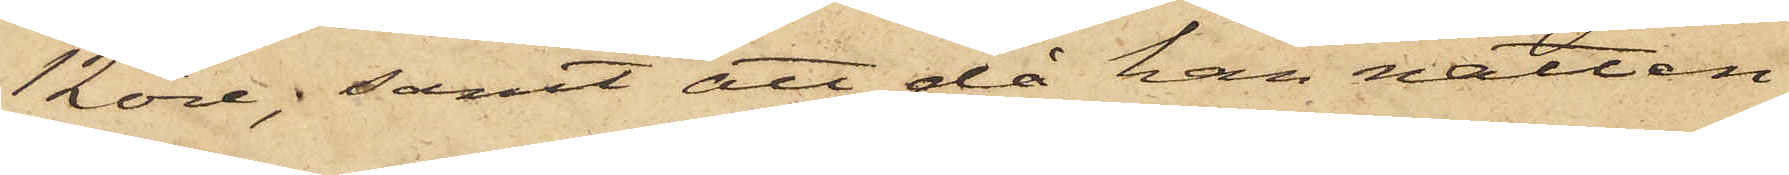12 öre; samt att då han natten
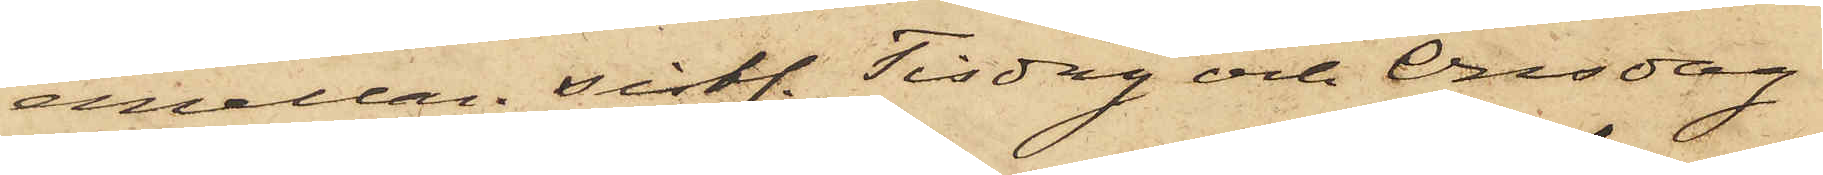emellan sistl. Tisdag och Onsdag
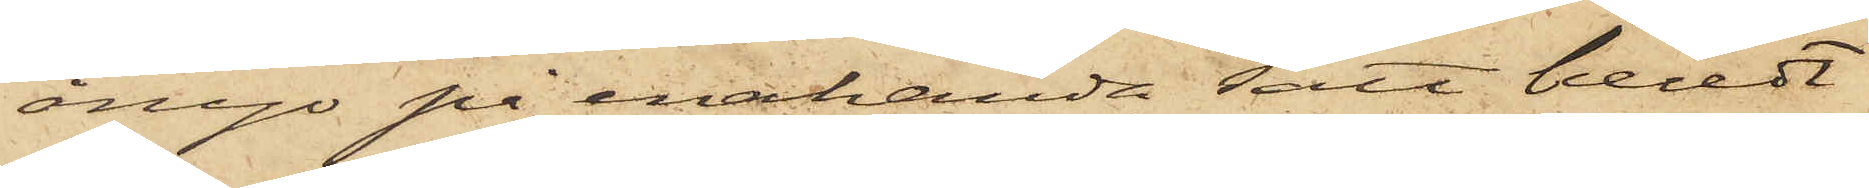ånyo på enahanda sätt beredt
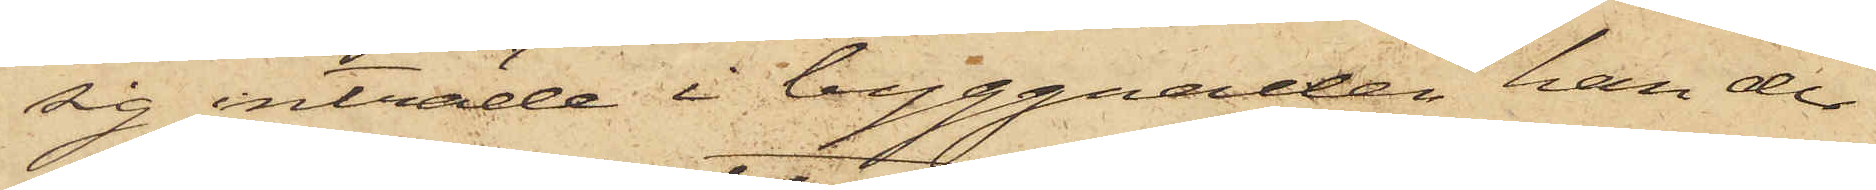sig inträde i byggnaden han der
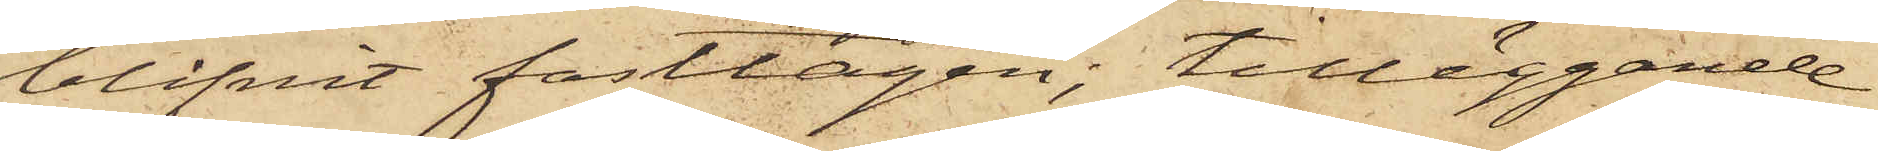blifvit fasttagen; tilläggande
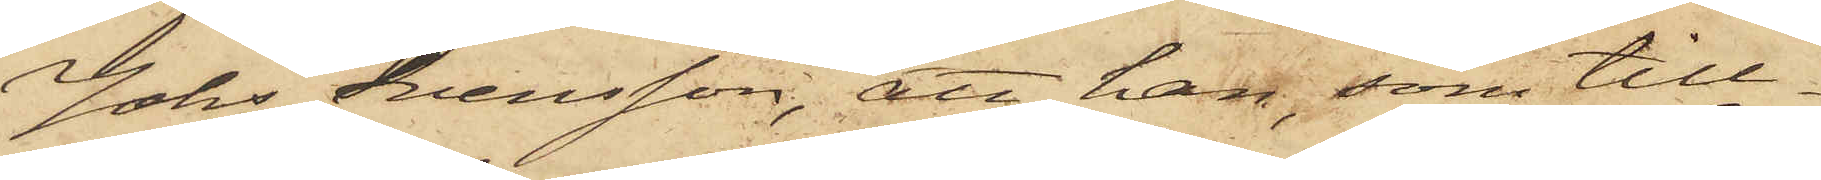Johs Svensson, att han, som till¬
